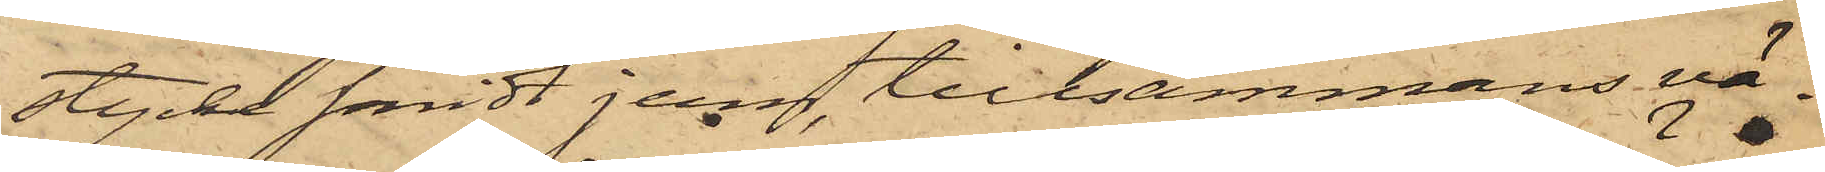stycke smidt jern, tillsammans vä¬
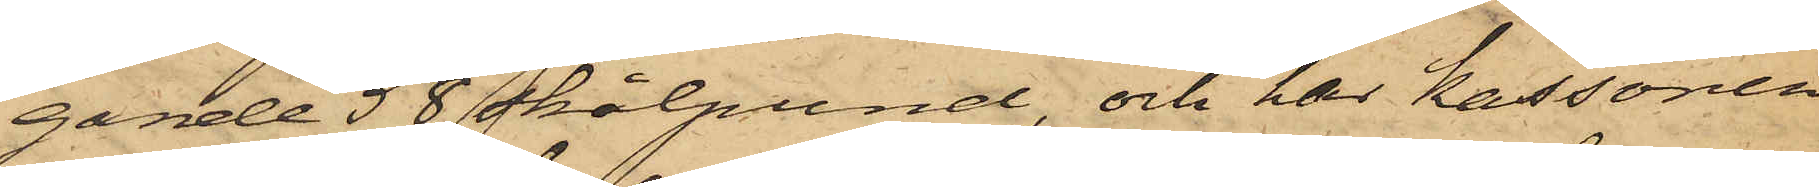gande 58 skålpund, och har kassören
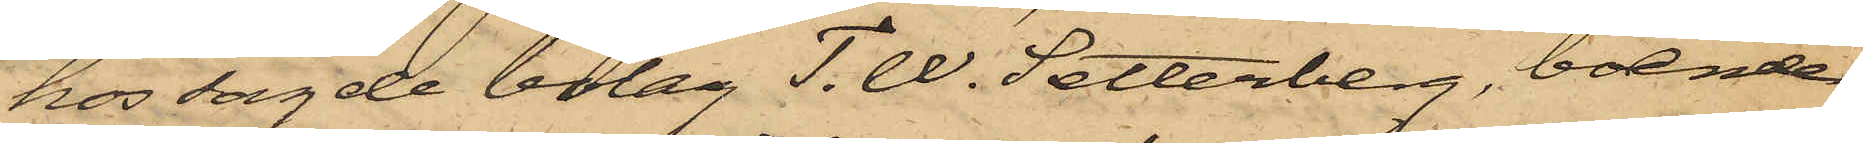hos sagde bolag T. W. Setterberg, boende
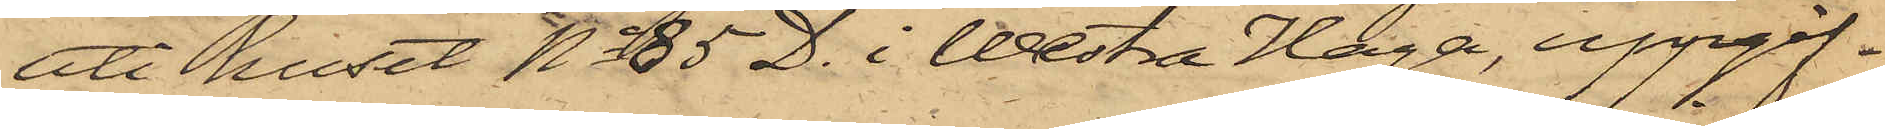uti huset No 85 D. i Westra Haga, uppgif¬
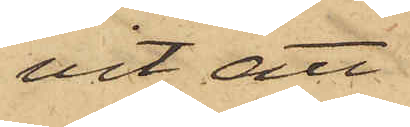vit, att
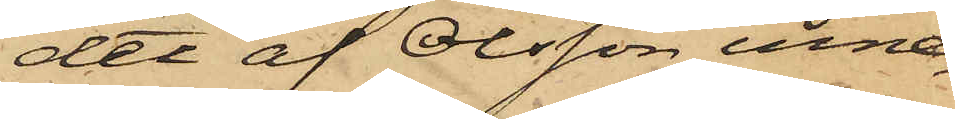det af Olsson inne¬
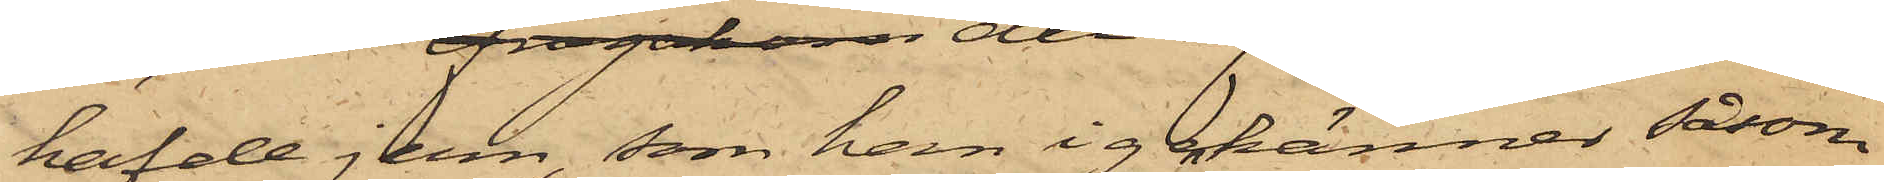hafde jern, som han igenkänner såsom
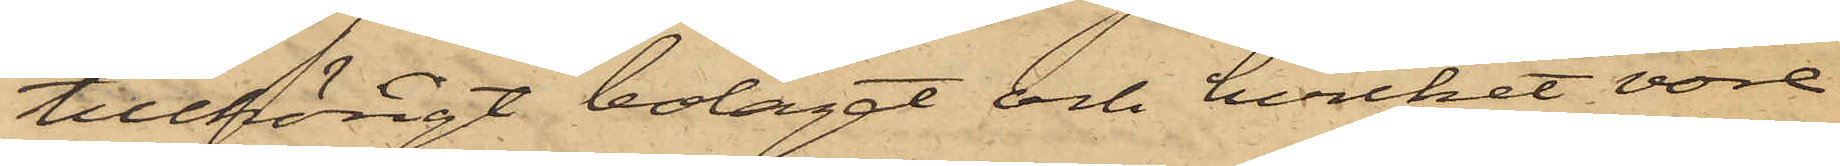tillhörigt bolaget och hvilket vore
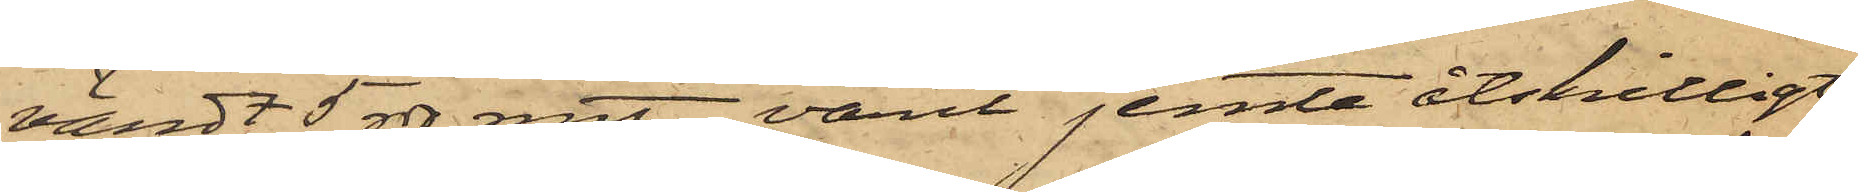värdt 5 rdr rmt, varit jemte åtskilligt
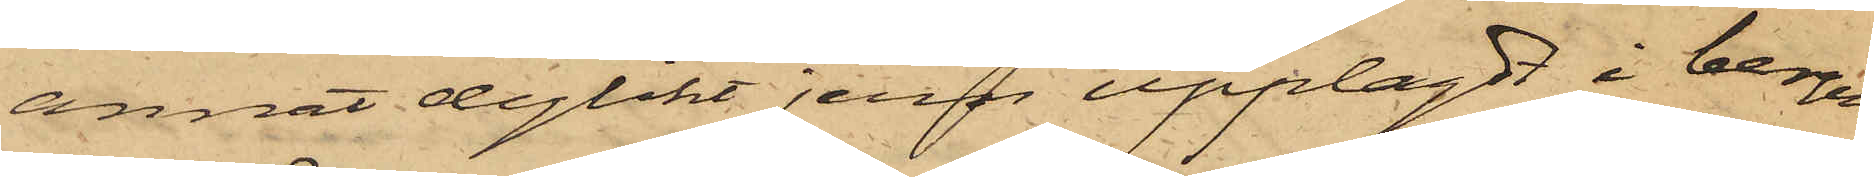annat dylikt jern upplagdt i bergen
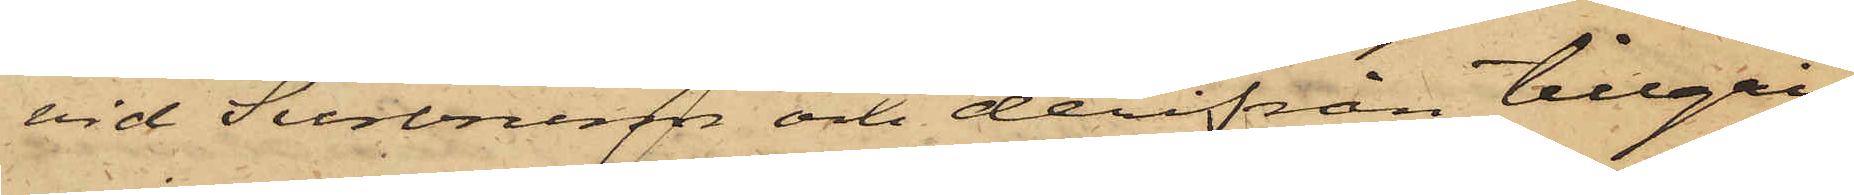vid Surbrunn och derifrån tillgri¬
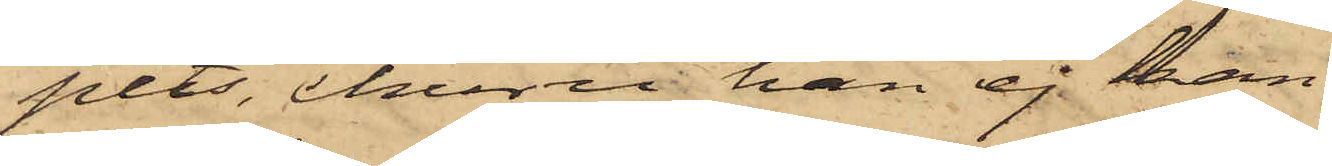pits, ehuru han ej kan
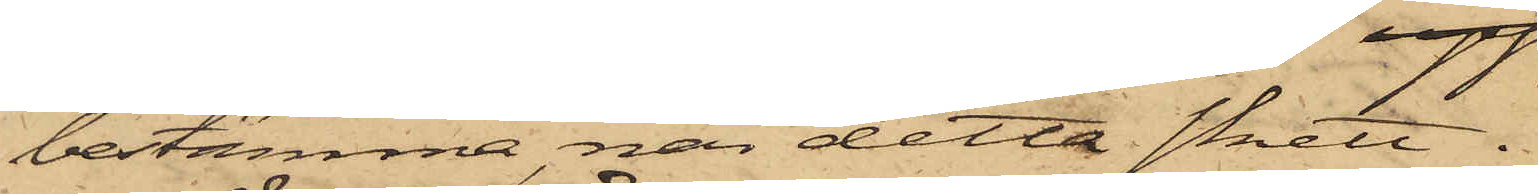bestämma, när detta skett.
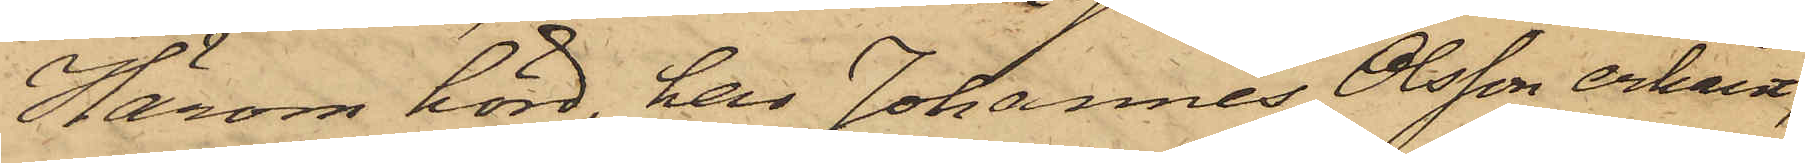Härom hörd, har Johannes Olsson erkänt,
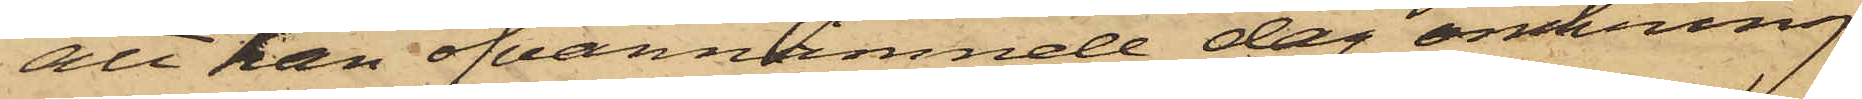att han ofvannämnde dag omkring
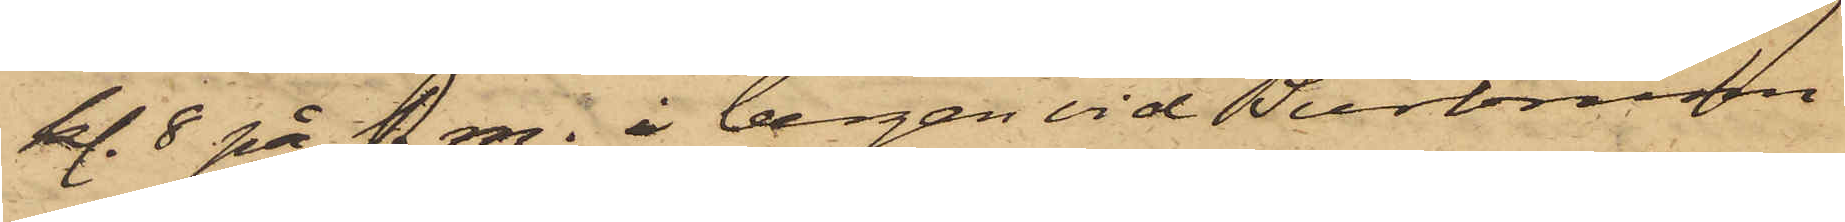kl. 8 på f. m. i bergen vid Surbrunn
